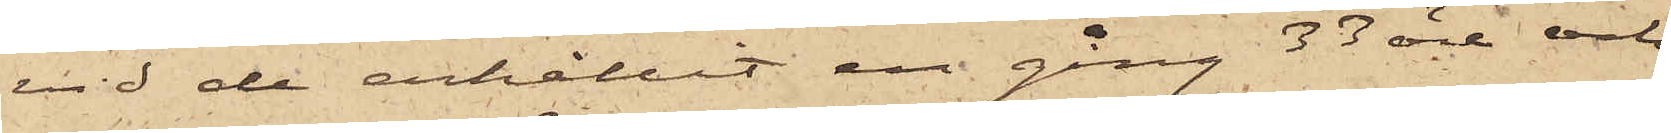vid de erhållit en gång 33 öre och
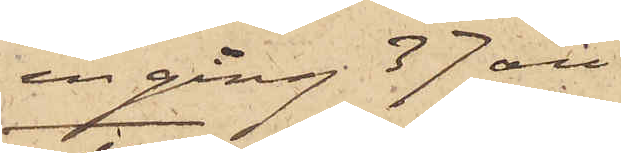en gång 37 öre.
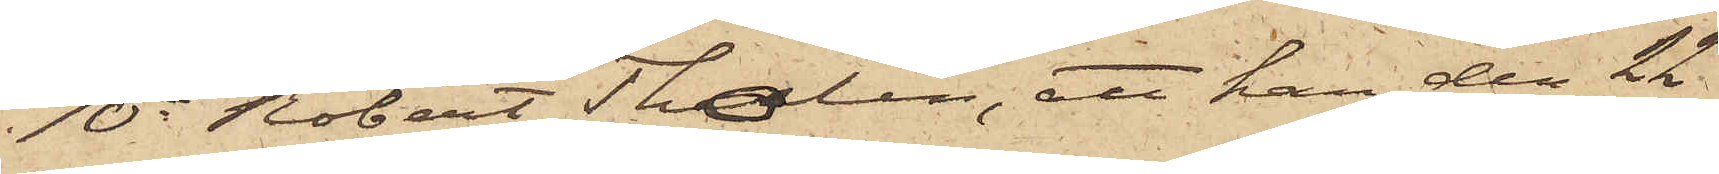10o Robert Tholin, att han den 22
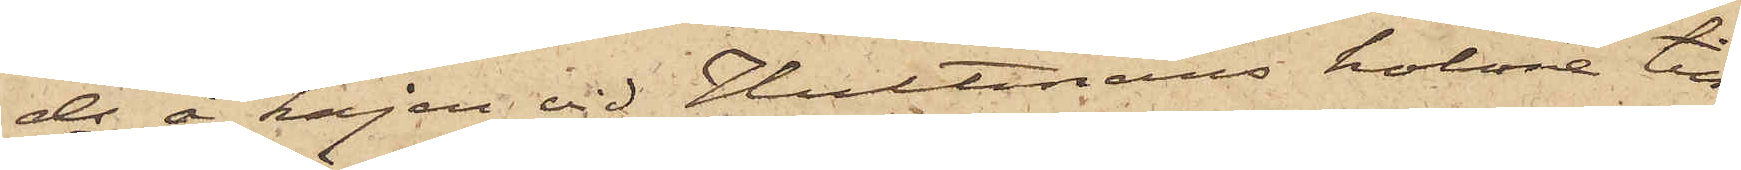ds å kajen vid Hultmans holme till¬
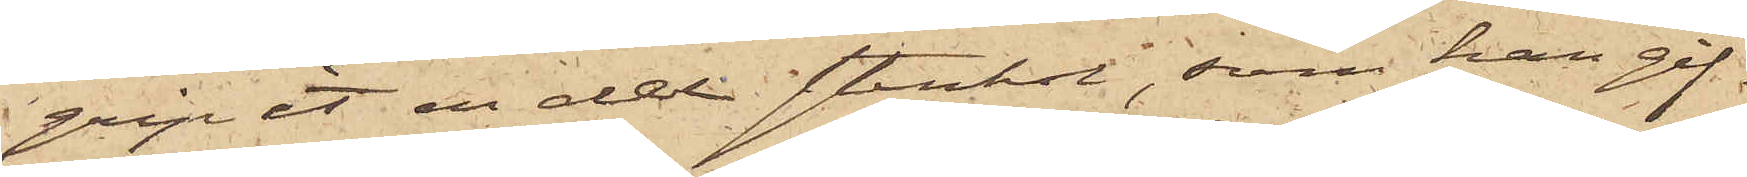gripit en del stenkol, som han gif¬
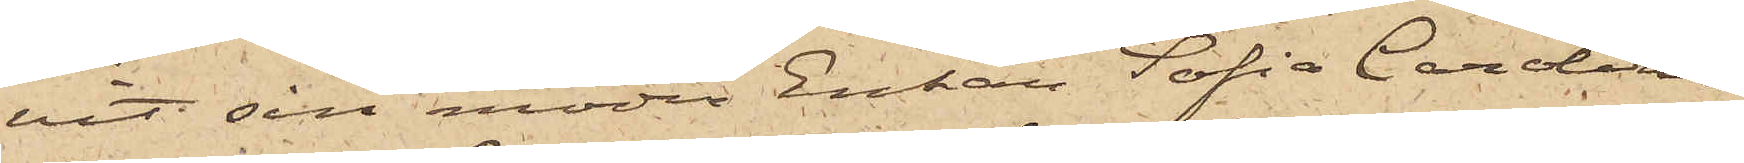vit sin moder Enkan Sofia Carolina
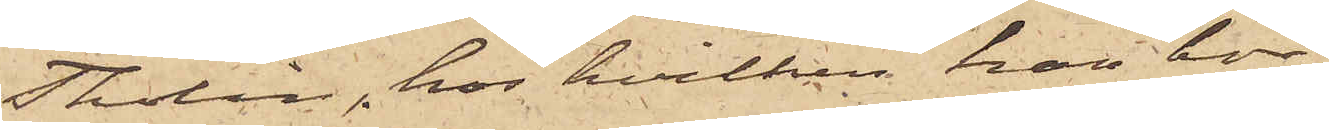Tholin, hos hvilken han bor;
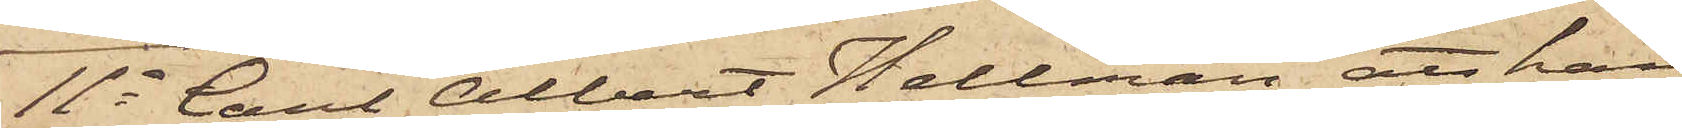11o Carl Albert Hellman, att han
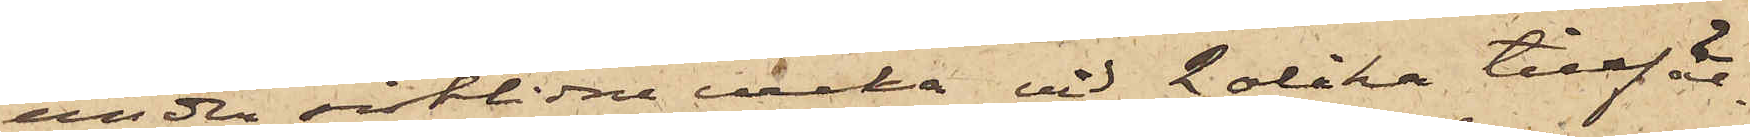under sistlidne vecka vid 2 olika tillfäl¬
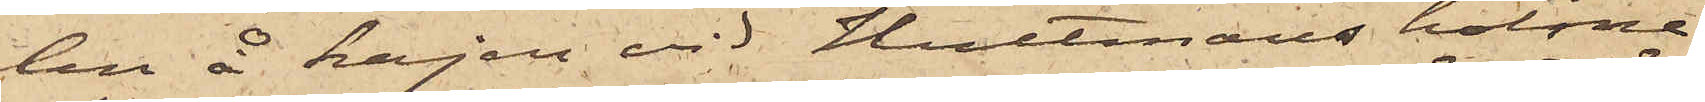len å kajen vid Hultmans holme
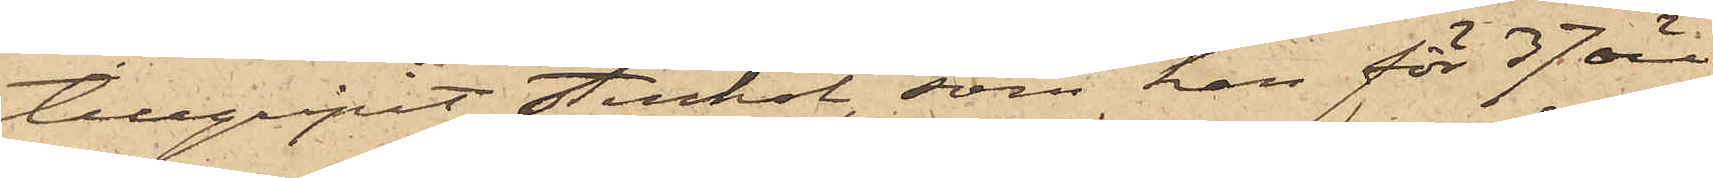tillgripit stenkol, som han för 37 öre
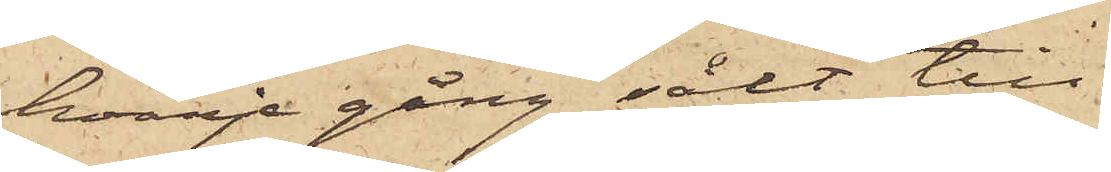hvarje gång sålt till
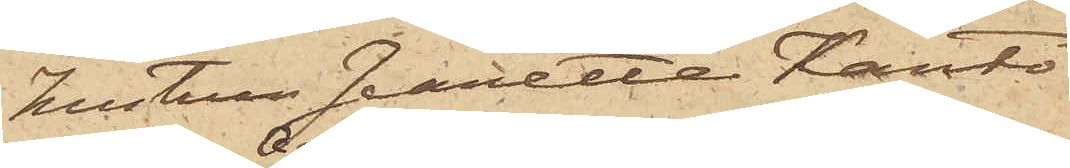hustrun Jeanette Kanto
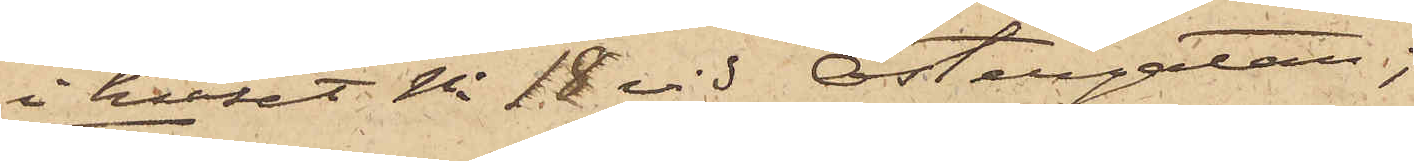i huset No 18 vid Östergatan;
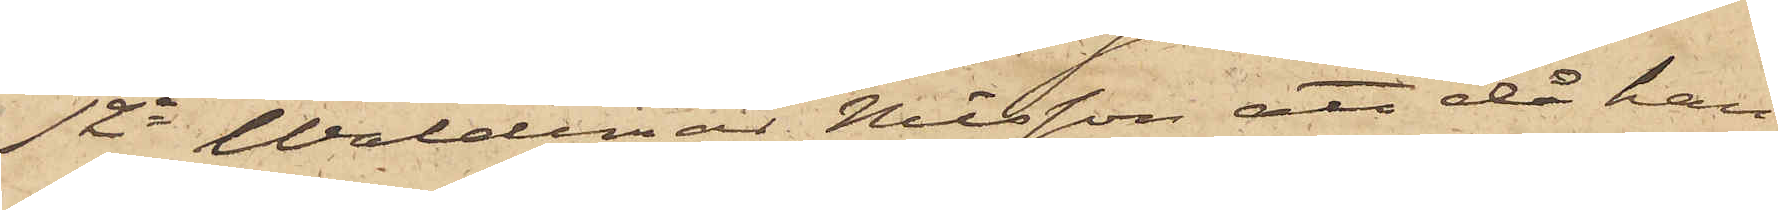12o Waldemar Nilsson att då han
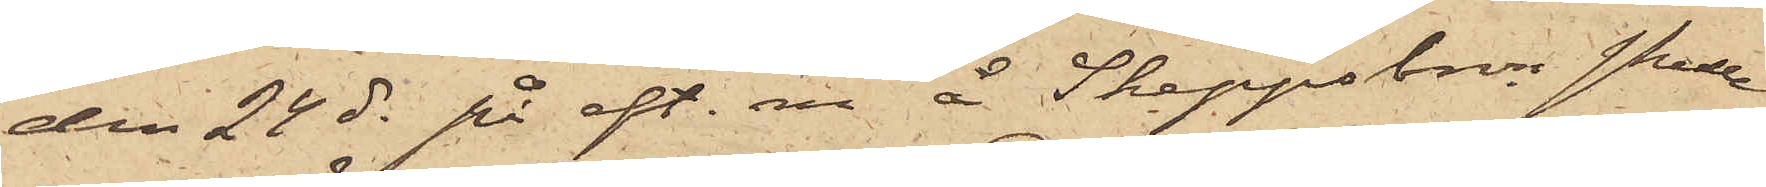den 24 ds på eft. m. å Skeppsbron skulle
